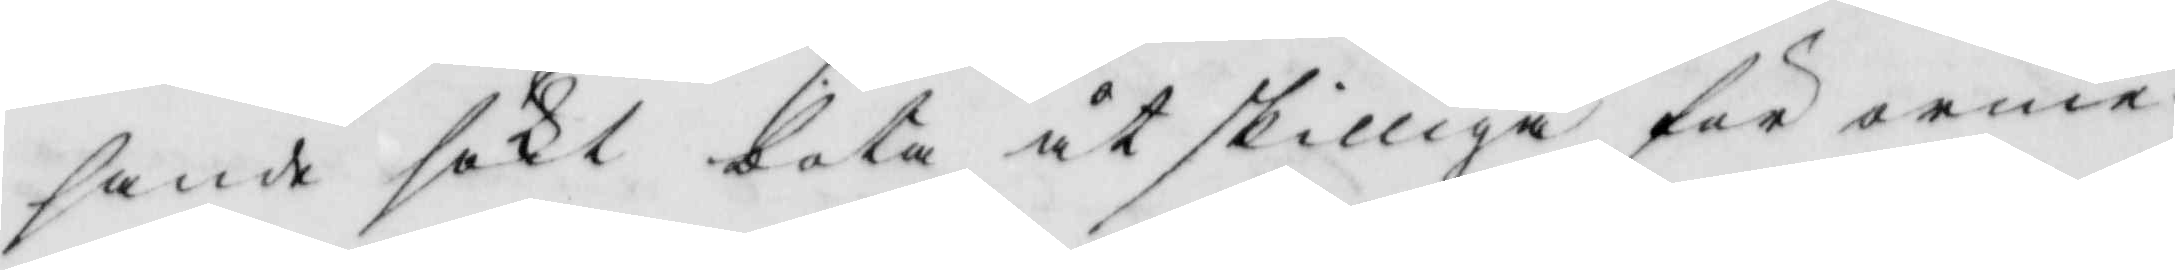sande sökt bota åtskilliga för orme¬
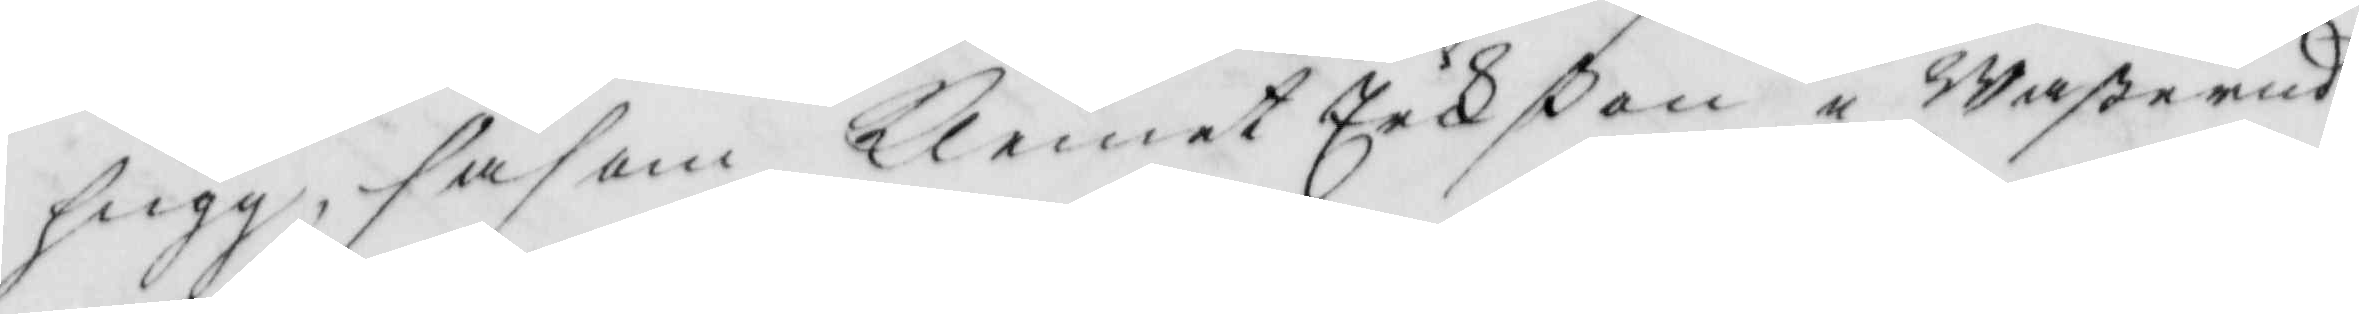hugg, såsom Klemet Eekßon i Waßerud
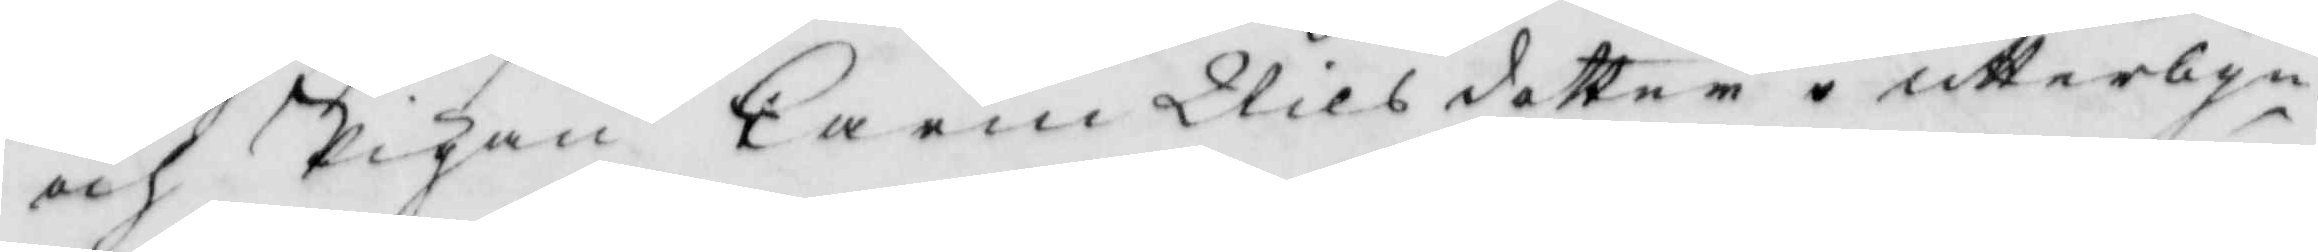och Pigan Carin Nilsdotter i utterbyn
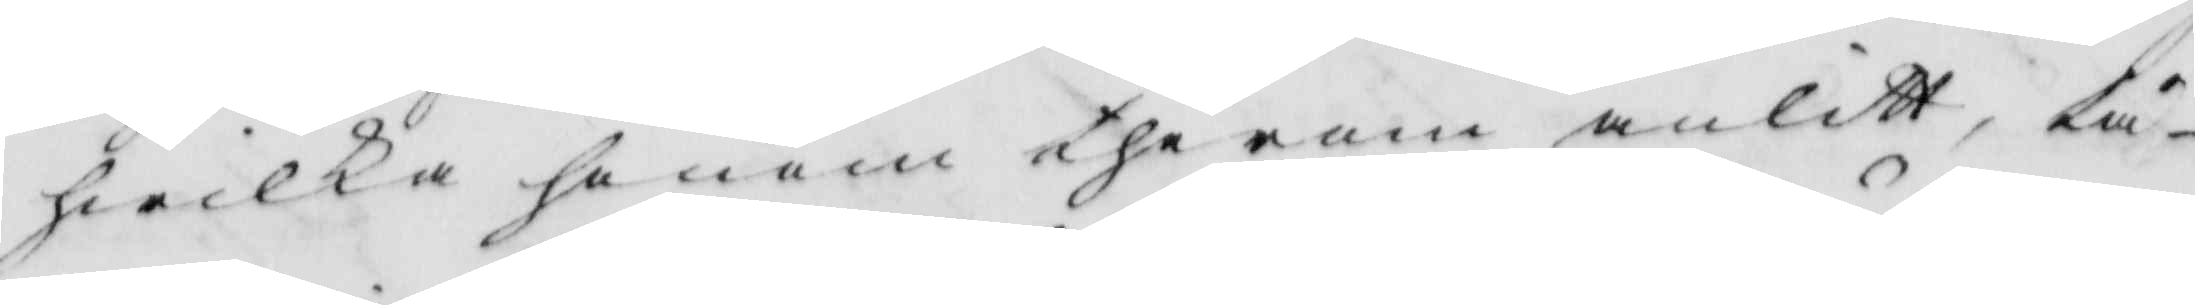hwilka honom therom anlitt, tå
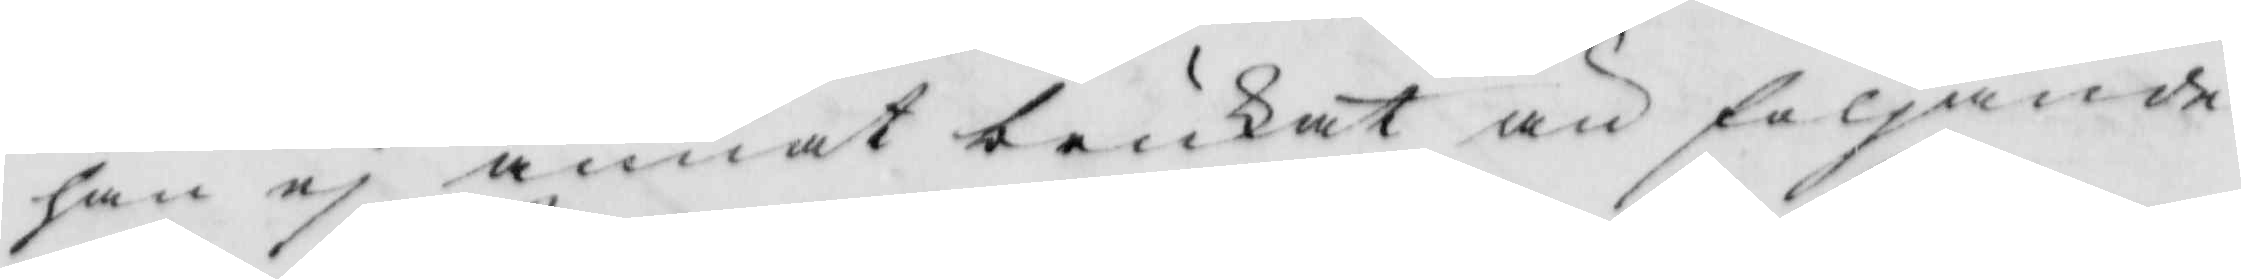han ej annat brukat än följande
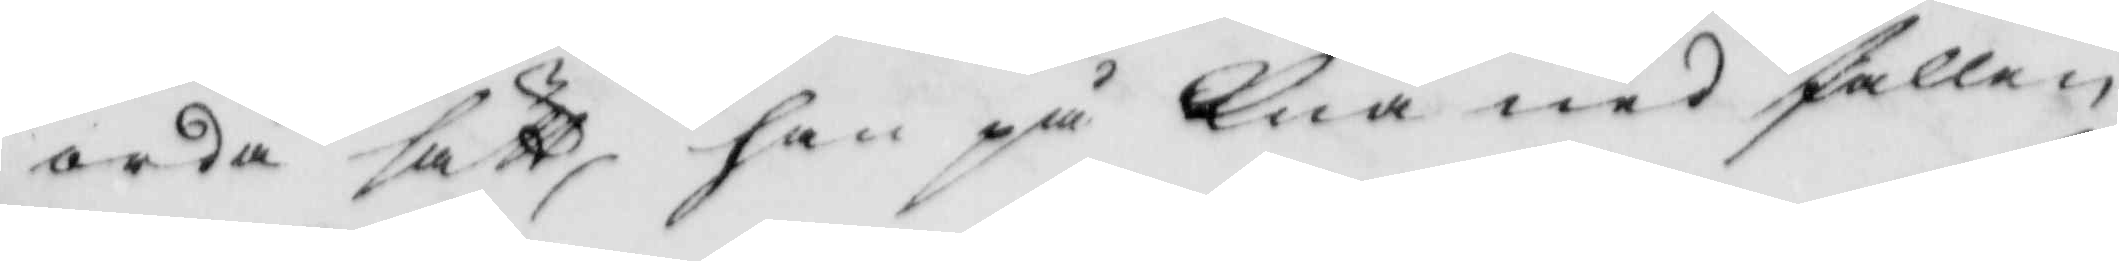orda sätt, han på Knä nedfallen
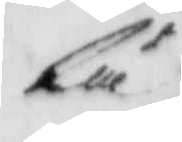lä
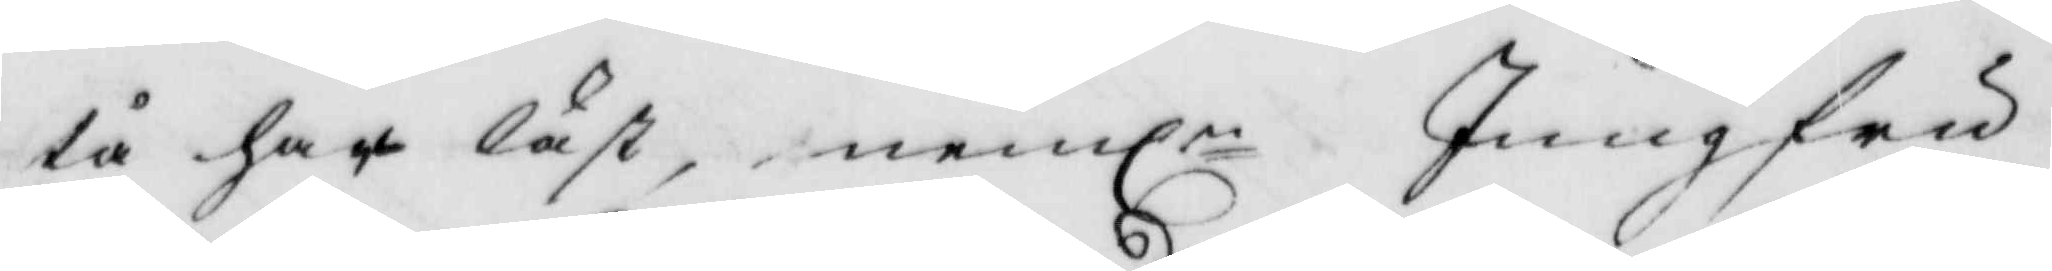tå har läst, nemln Jungfru
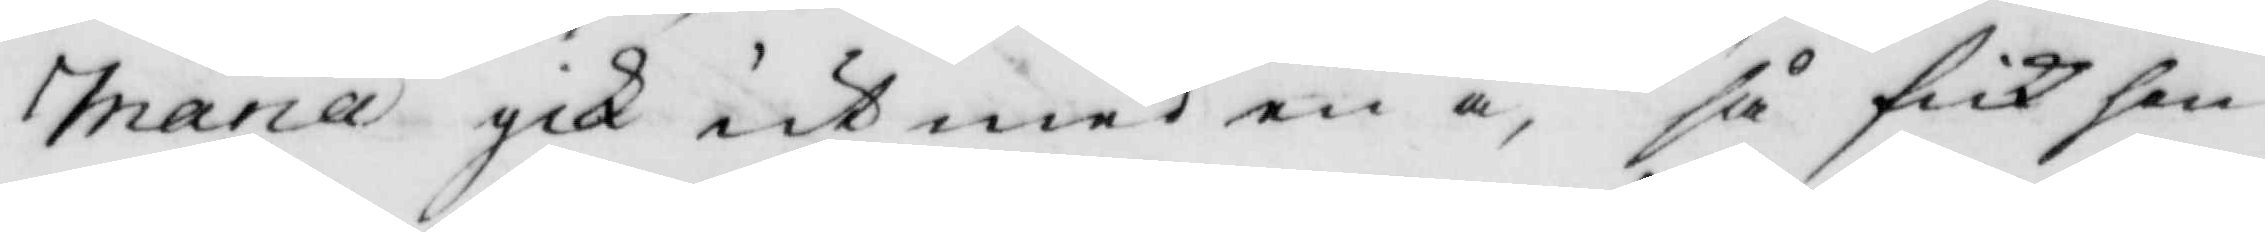Maria gick ut med en å, så fick hon
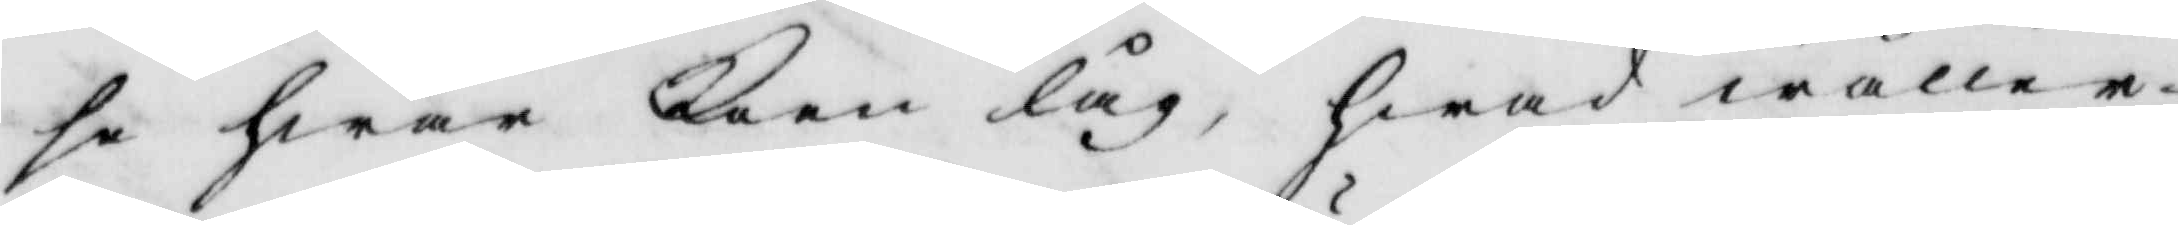se hwar koen låg, hwad wåller
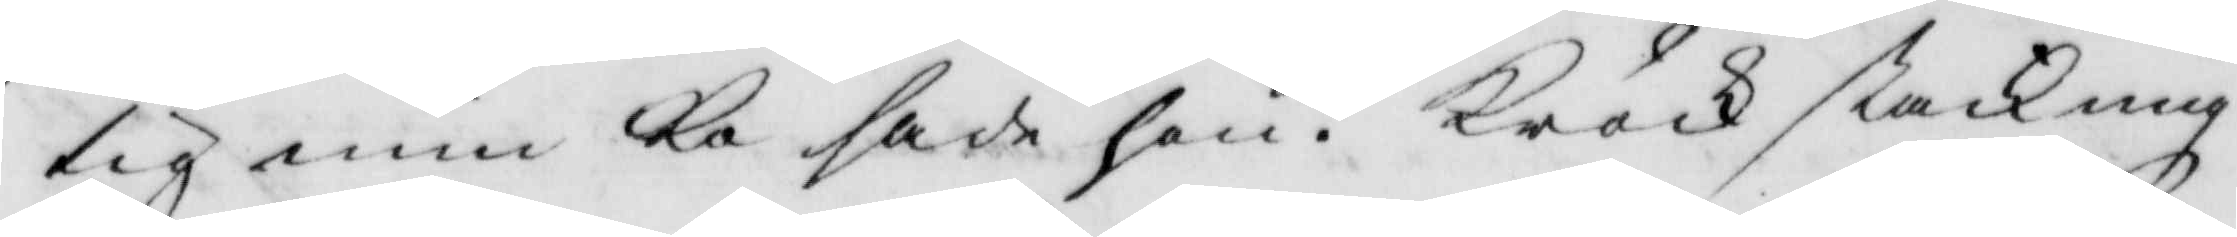tig min Ko sade hon? Kröck stackning
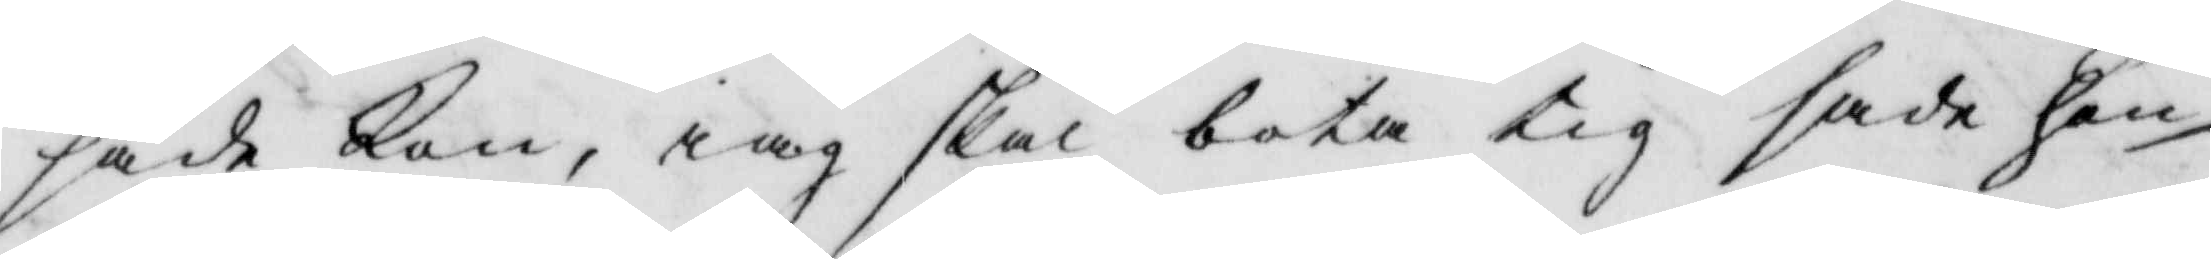sade Kon, iag skal bota tig sade hon
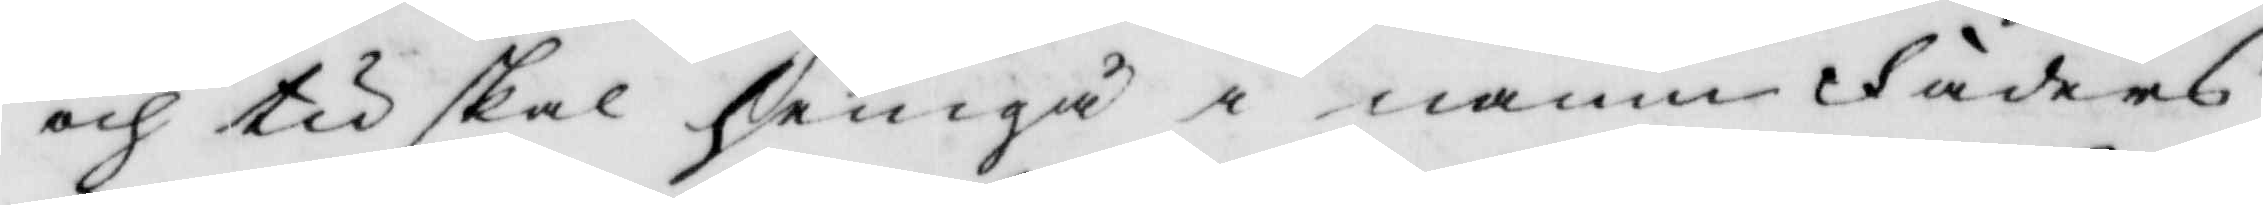och tu skal hemgå i namn Fädrens
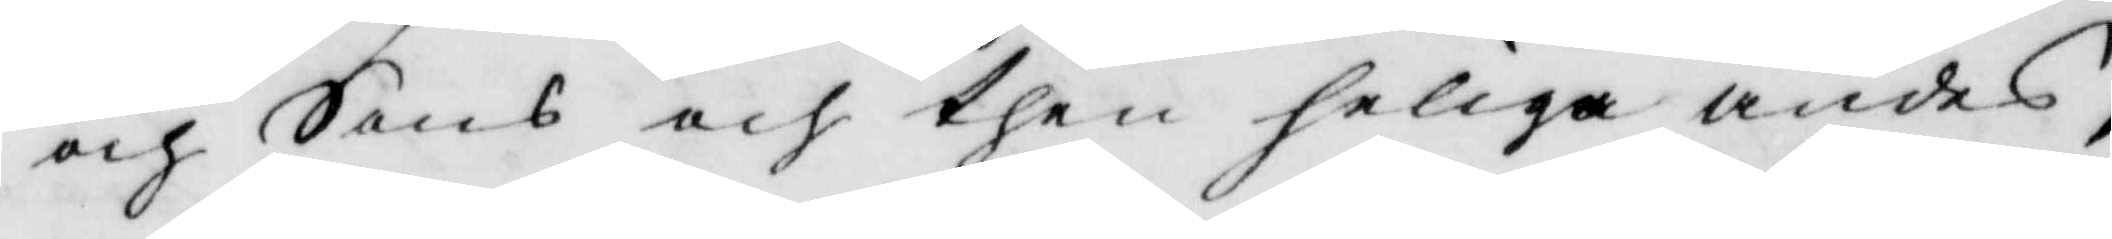och Sons och then heliga andes,
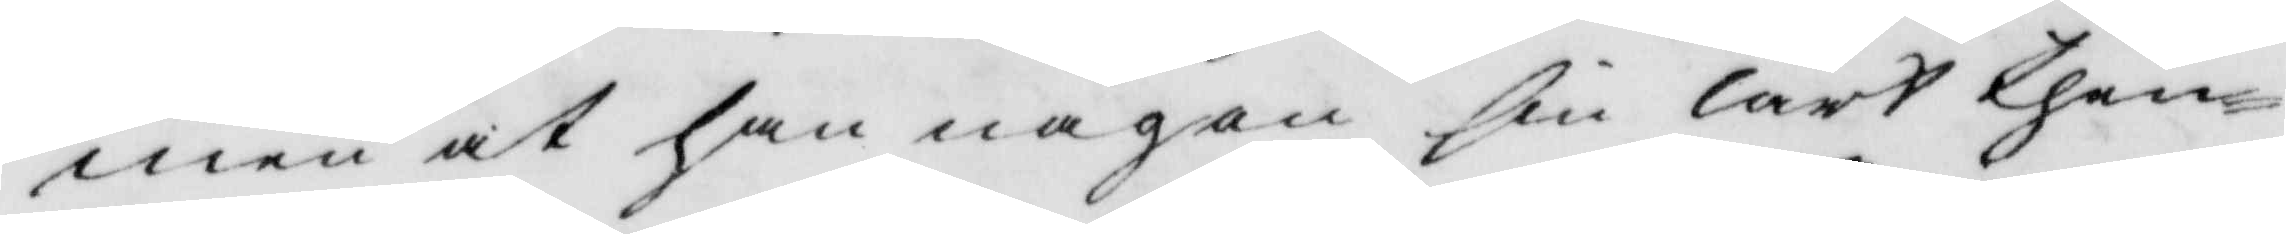men at han någon sin lärt then¬
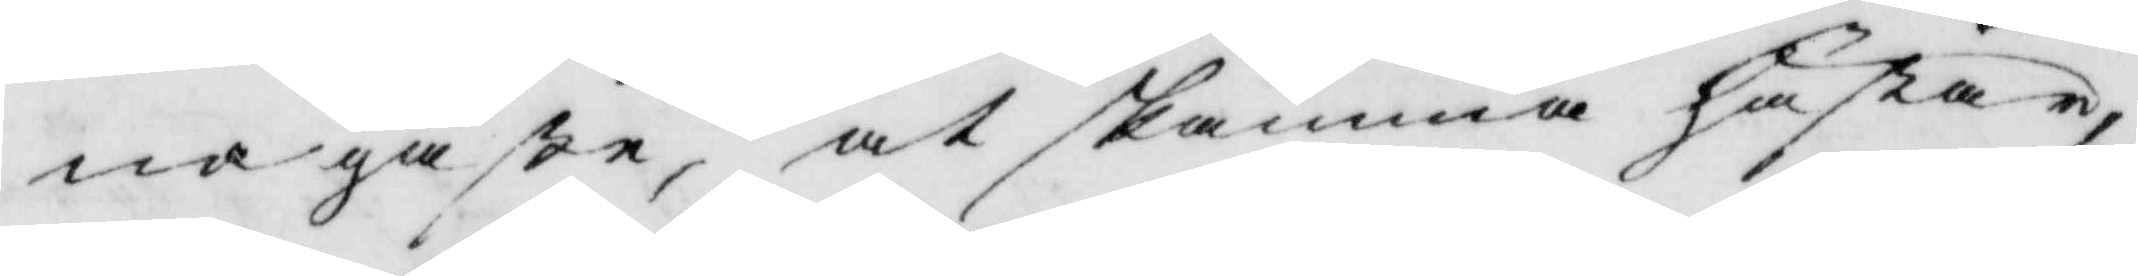na gåße, at skämma hästar,
